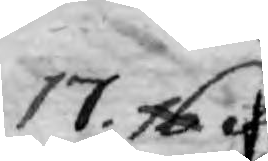17. §.
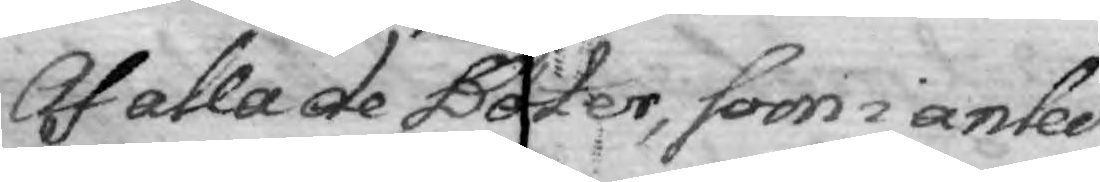Af alla de Böter, som anled¬
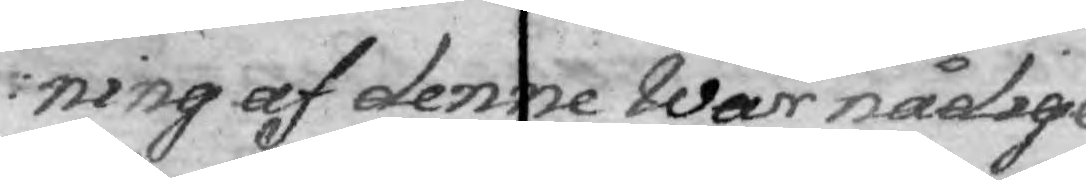ning af denne Wår nådige
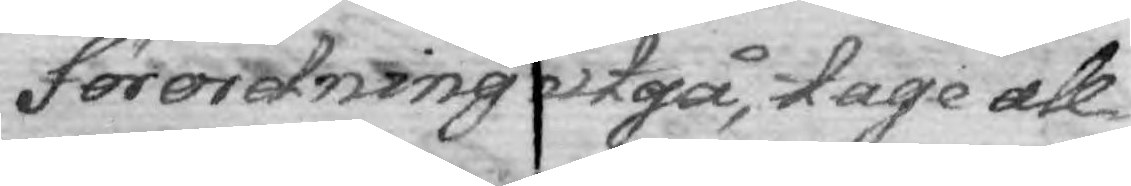Förordning utgå, tage all¬
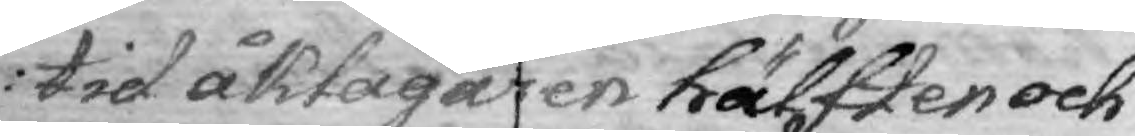tid Åklagaren hälften och
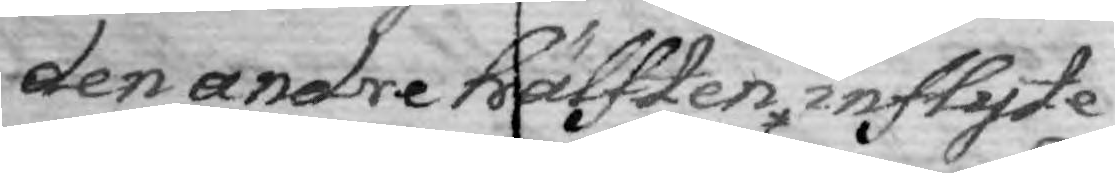den andre hälften inflyte
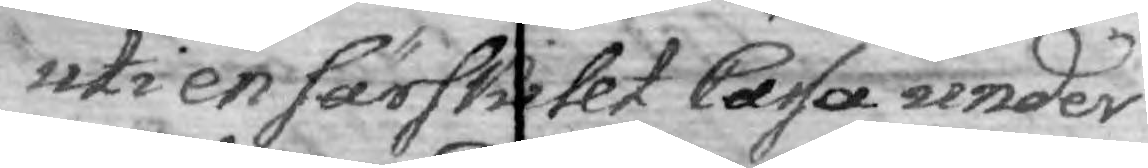uti en särskillt Cassa under
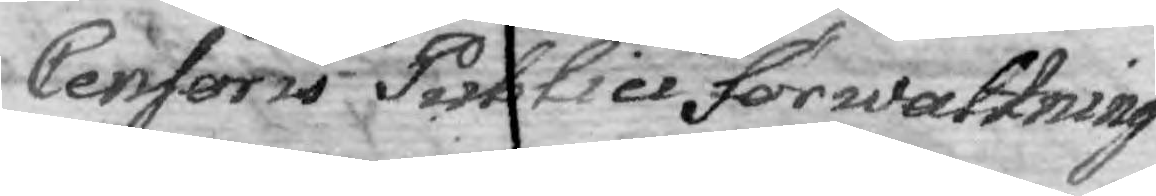Censoris Publici förwaltning
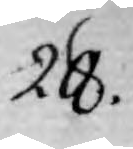28.
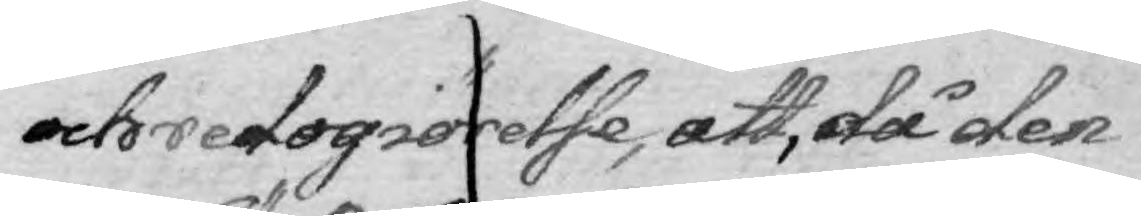och redogiörelse, att, då den 
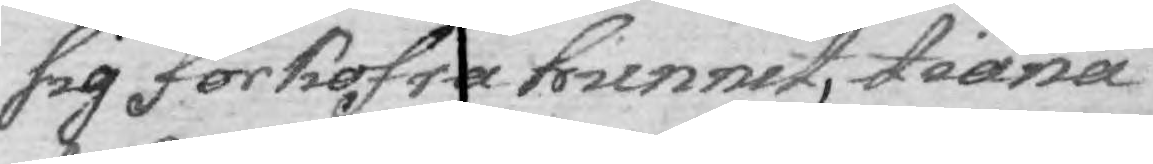sig förkofra hunnit, tiäna
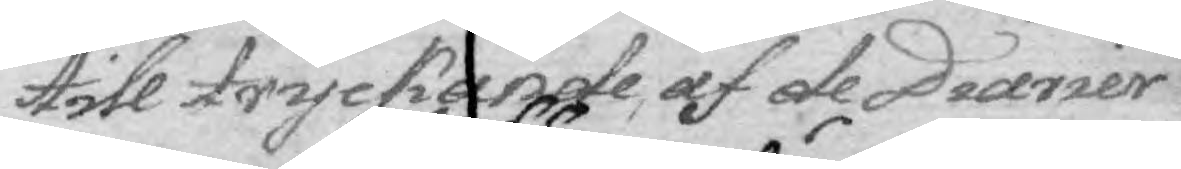till tryckande af de Diarier
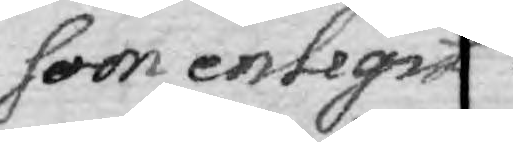som enligit
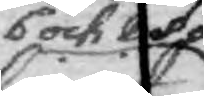6 och 8 §.§.
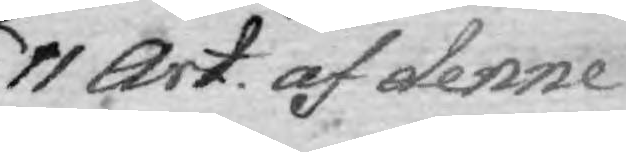11 Art. af denne
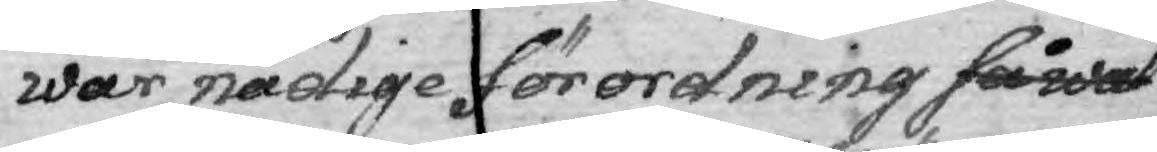wår nådige förordning såwal
